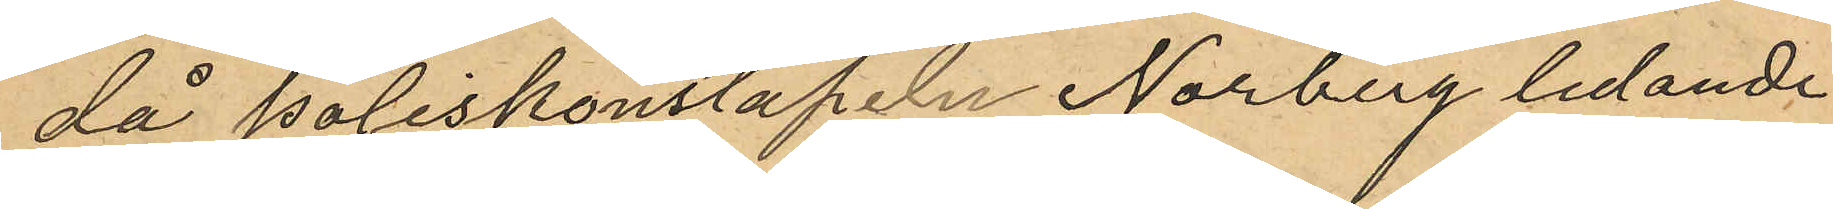då poliskonstapeln Norberg ledande
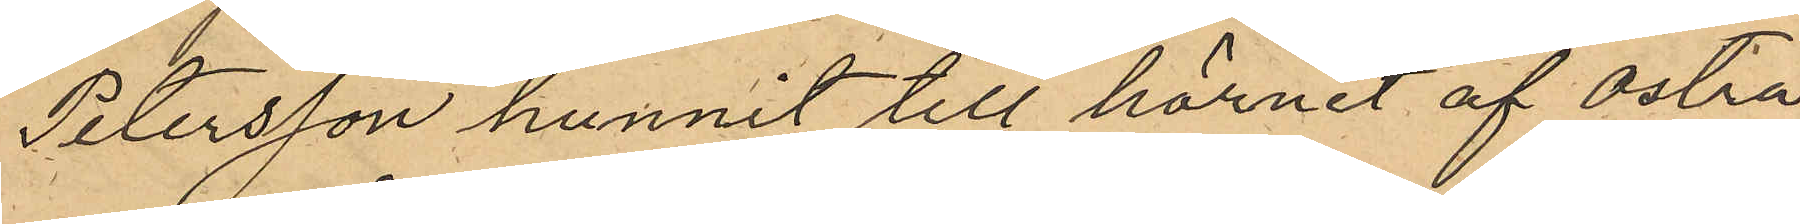Petersson hunnit till hörnet af Östra
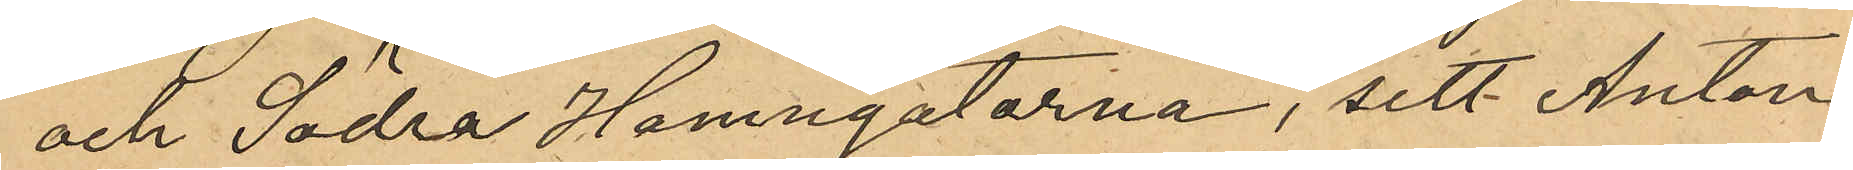och Södra Hamngatorna, sett Anton
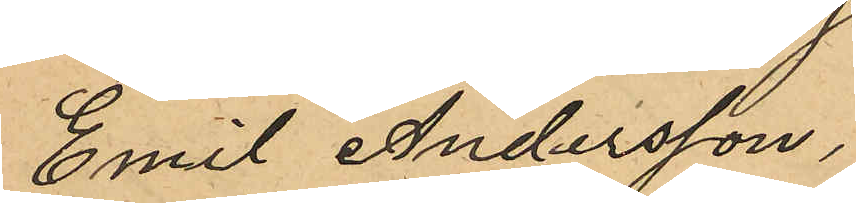Emil Andersson,
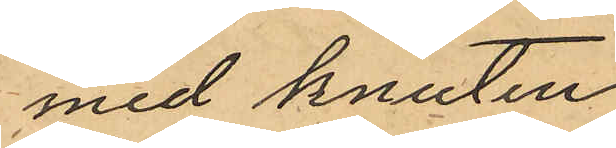med knuten
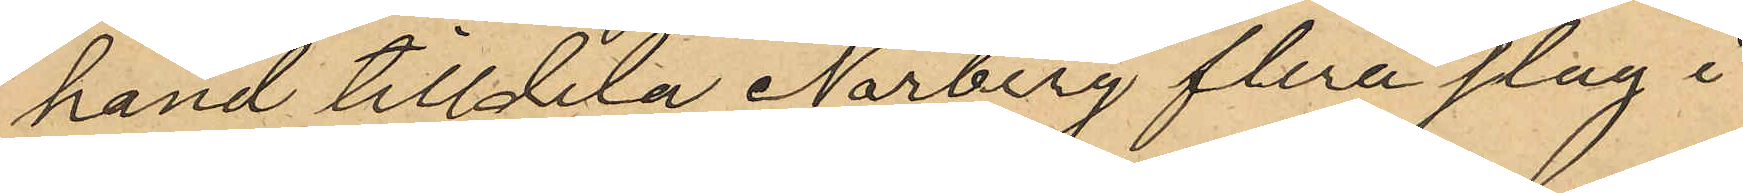hand tilldela Norberg flera slag i
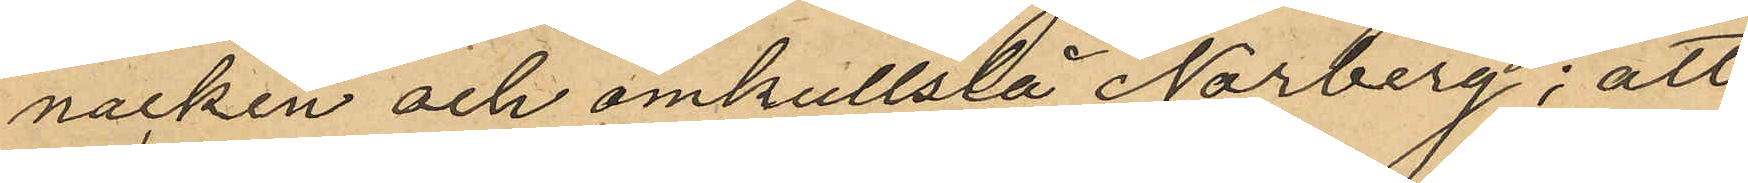nacken och omkullslå Norberg; att
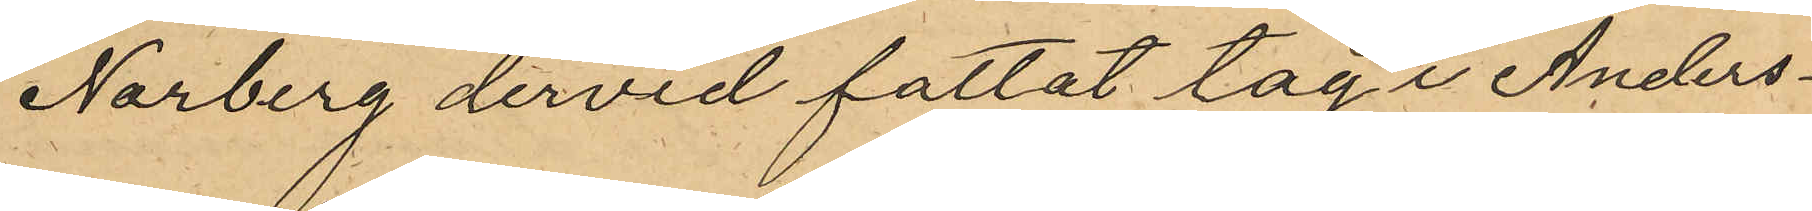Norberg dervid fattat tag i Anders¬
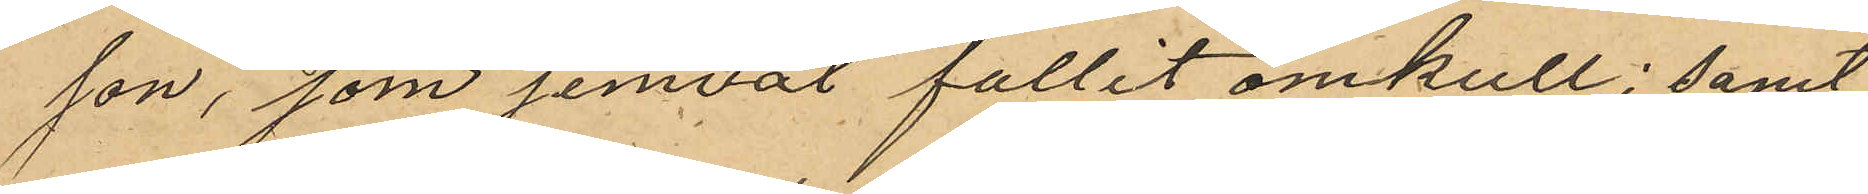son, som jemväl fallit omkull; samt
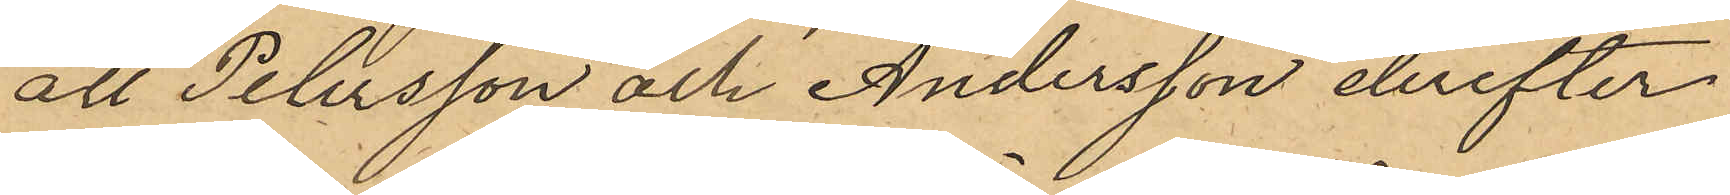att Petersson och Andersson derefter
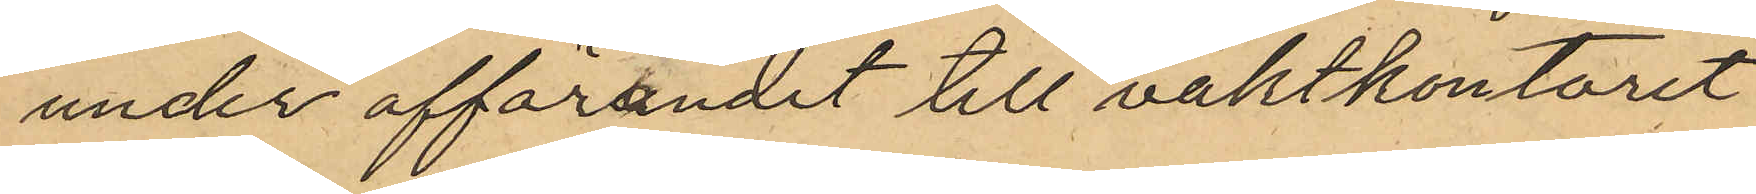under afförandet till vaktkontoret
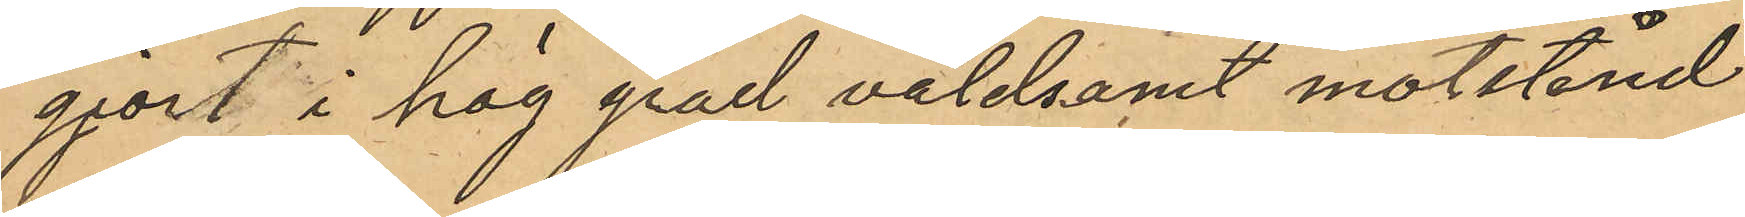gjort i hög grad våldsamt motstånd
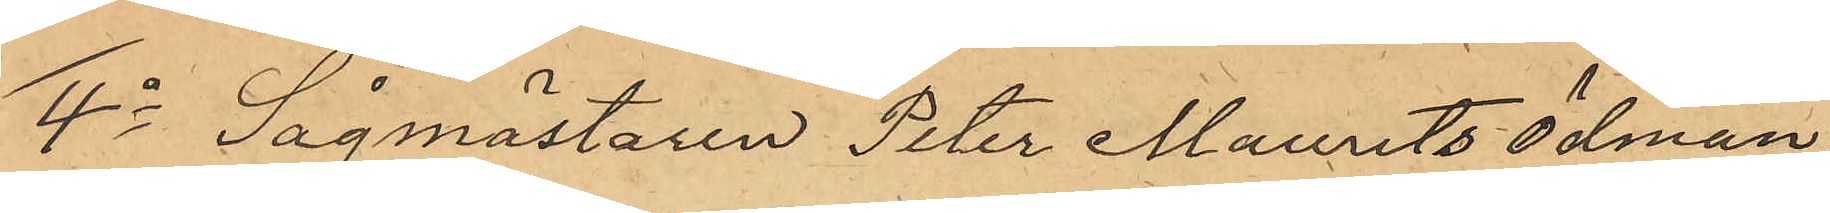4o Sågmästaren Peter Mauritz Ödman
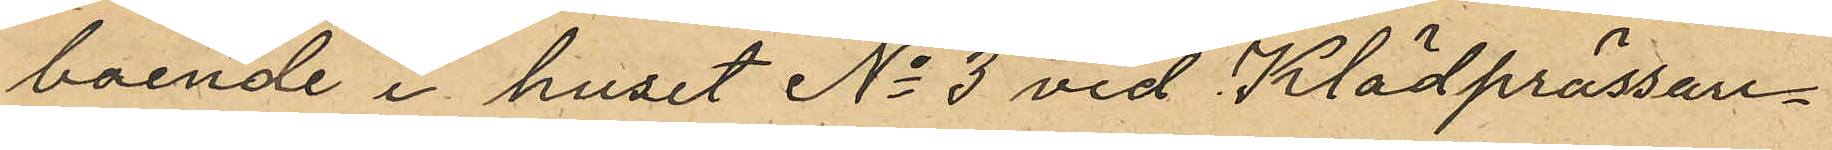boende i huset No 3 vid Klädprässare¬
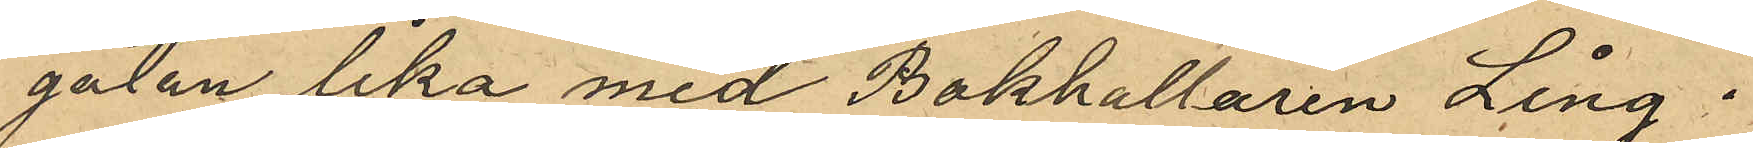gatan lika med Bokhållaren Ling:
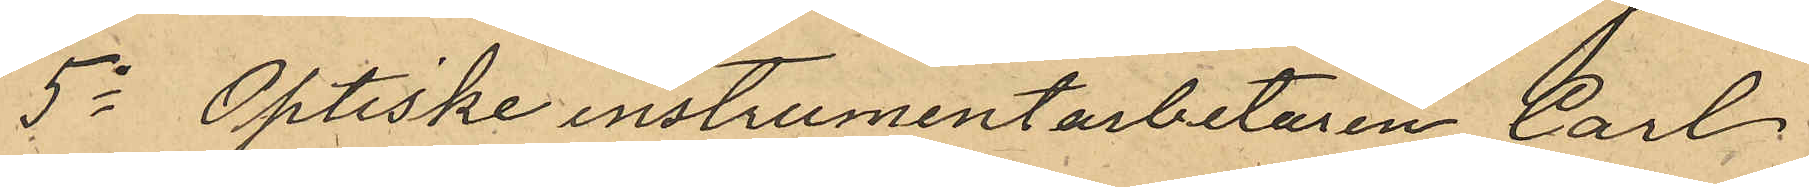5o Optiske instrumentarbetaren Carl
